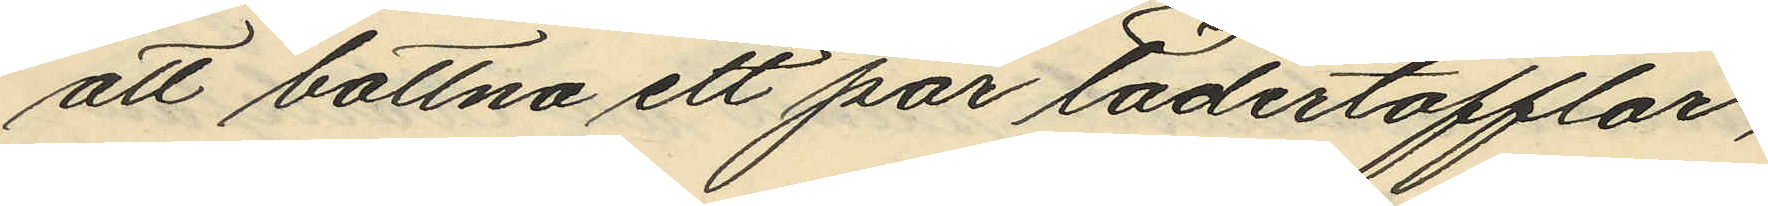att bottna ett par lädertofflor,
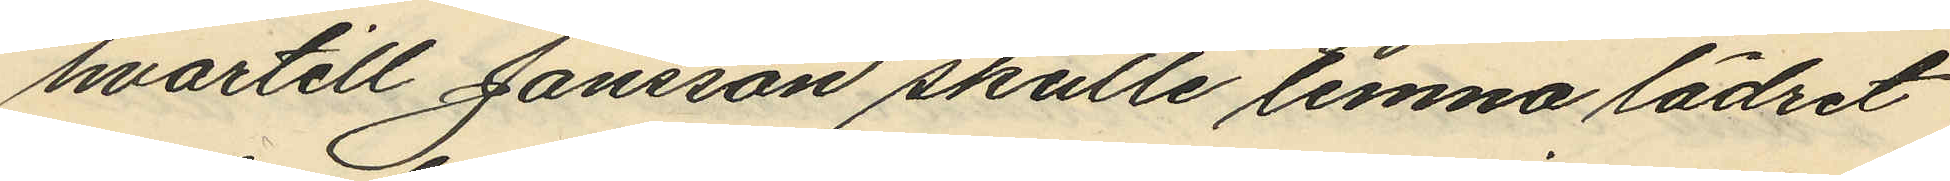hvartill Jansson skulle lemna lädret
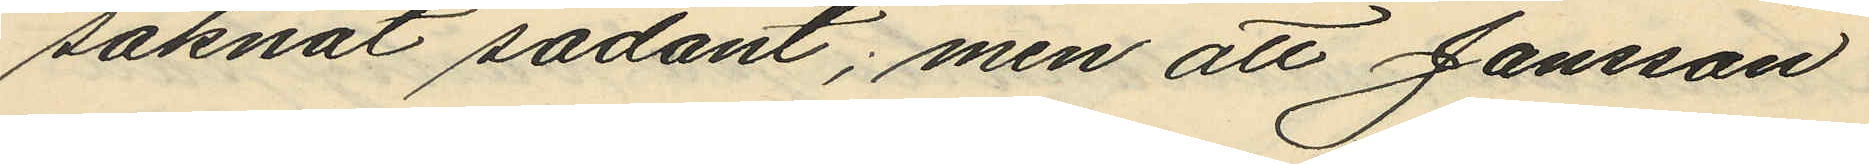saknat sådant; men att Jansson
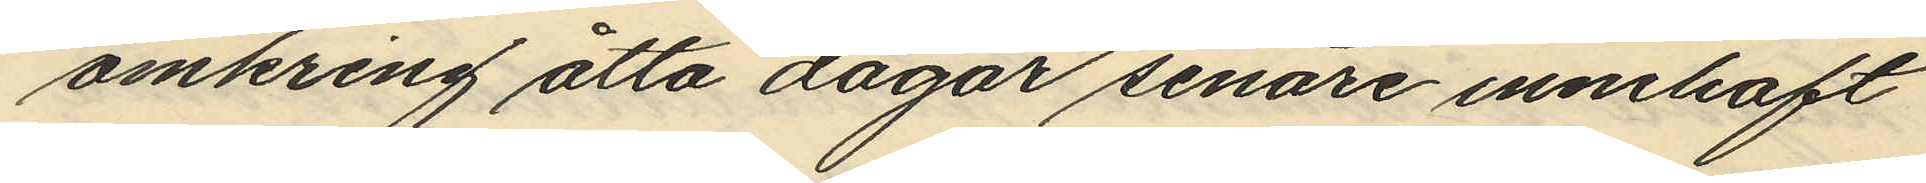omkring åtta dagar senare innehaft
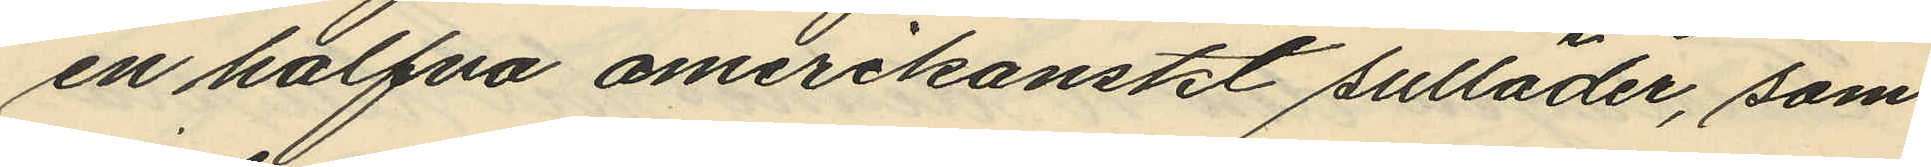en halfva amerikanskt sulläder, som
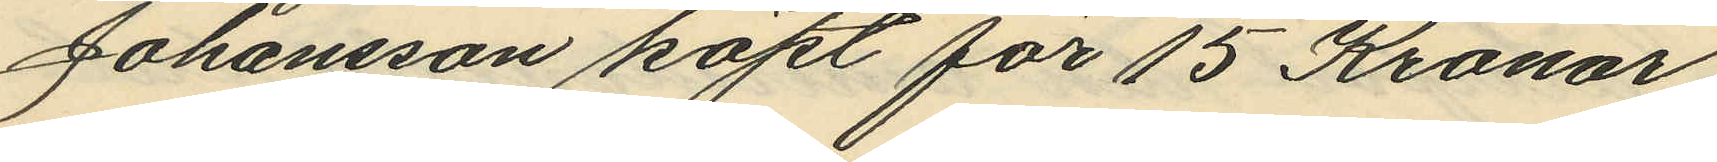Johansson köpt för 15 Kronor;
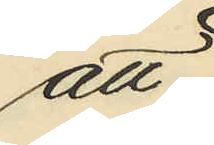att
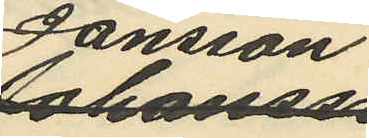Jansson
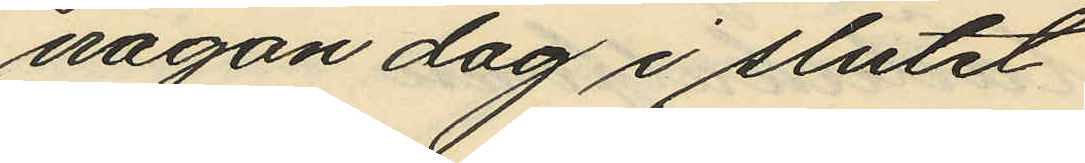någon dag i slutet
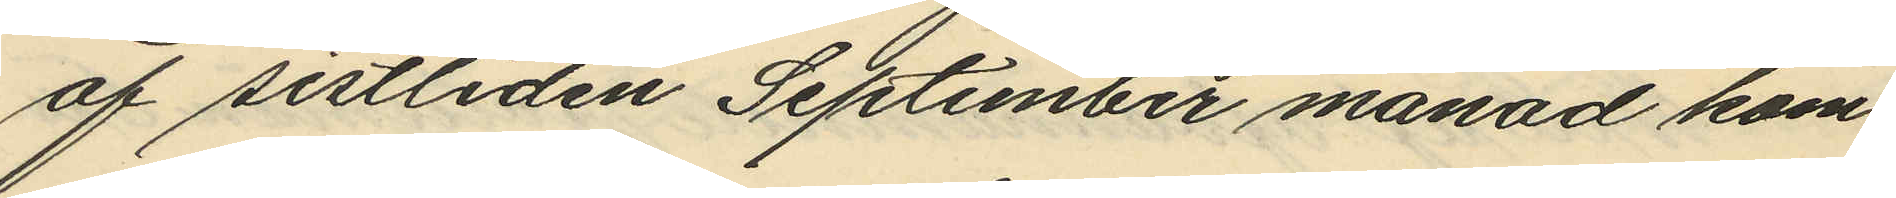af sistliden September månad kom¬
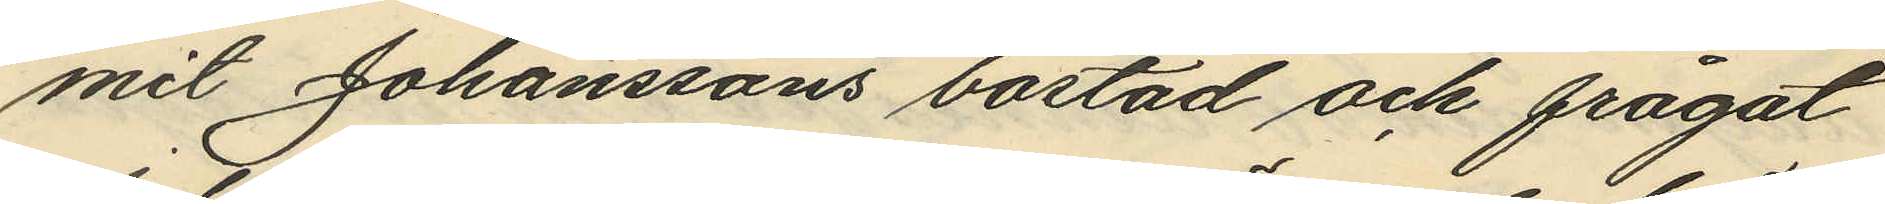mit Johanssons bostad och frågat
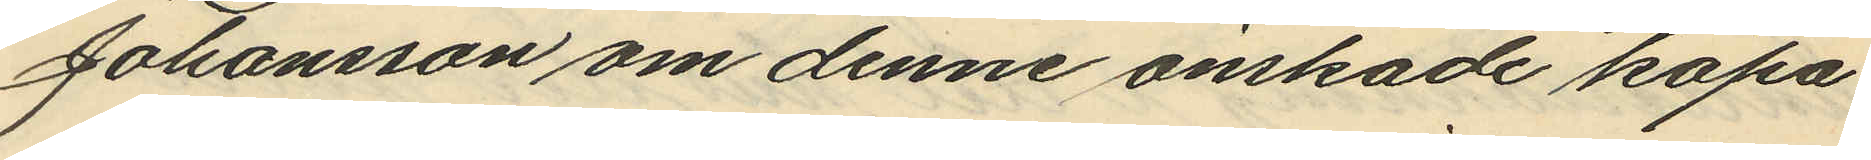Johansson om denne önskade köpa
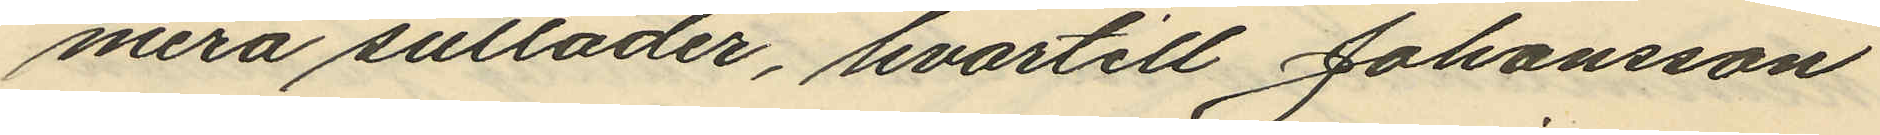mera sulläder, hvartill Johansson
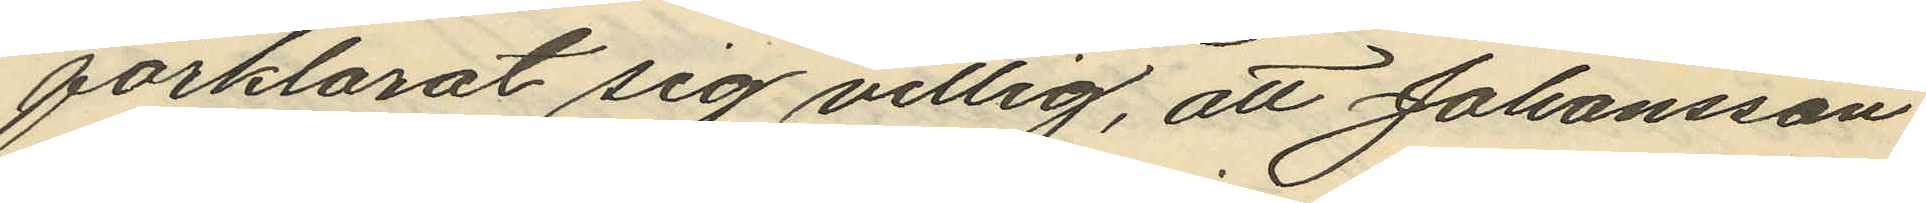förklarat sig villig, att Johansson
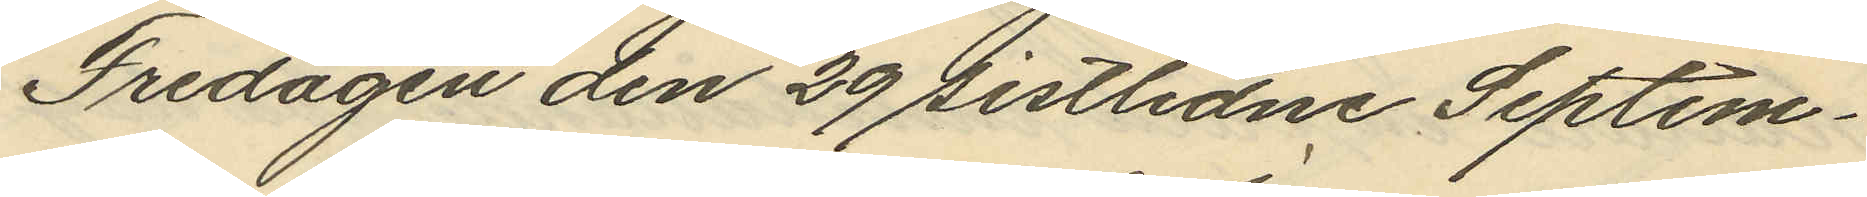Fredagen den 29 sistlidne Septem¬
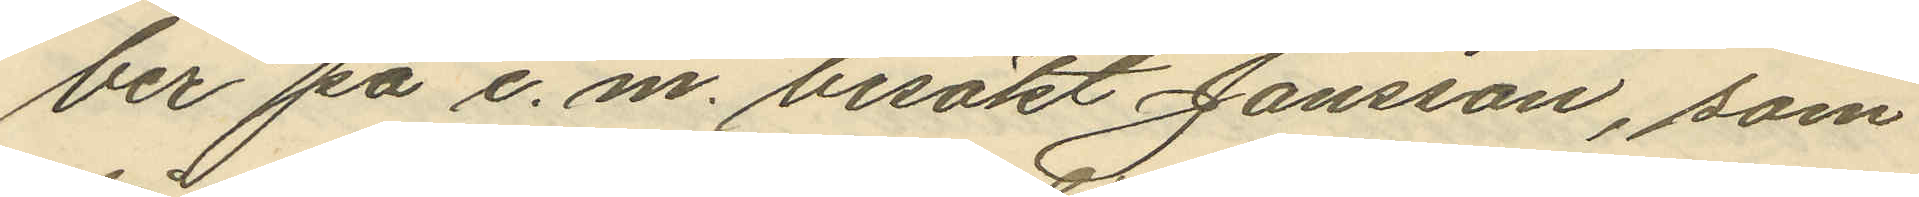ber på e. m. besökt Jansson, som
